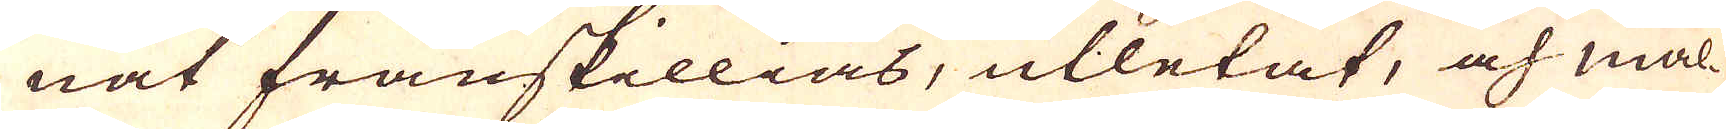nat frånskillias, utletat, och mal-
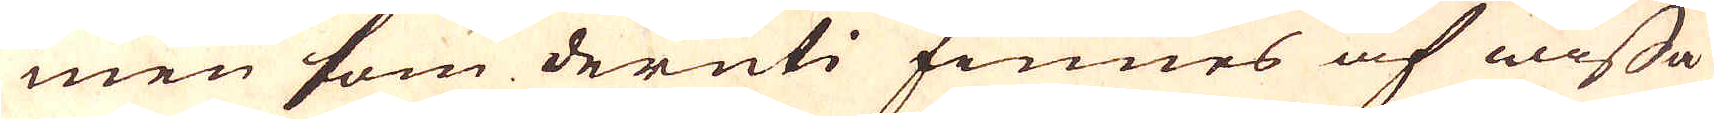men som deruti finnes af wissa
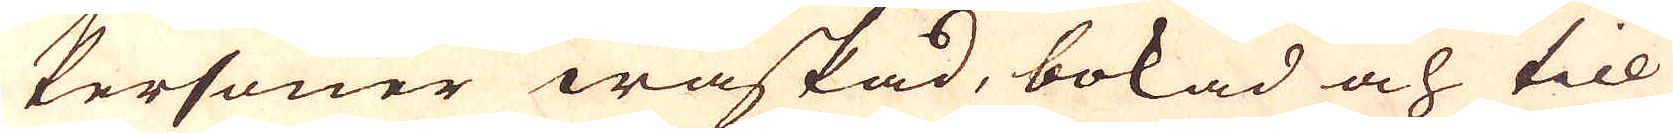Personer waskad, bokad och till
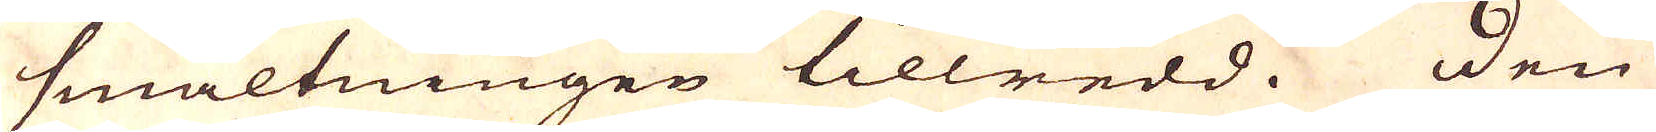smältningen tillredd. Den
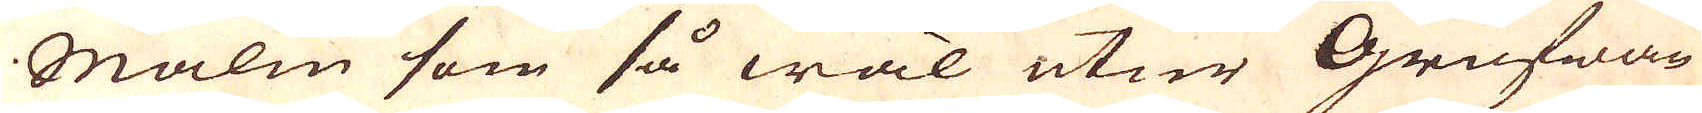Malm som så wäl utur Grufwan
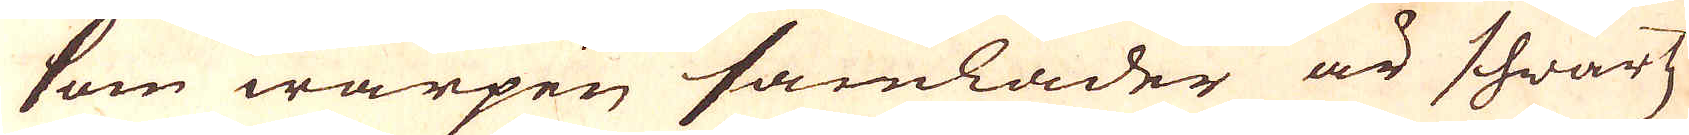som warpen samlader är schwartz
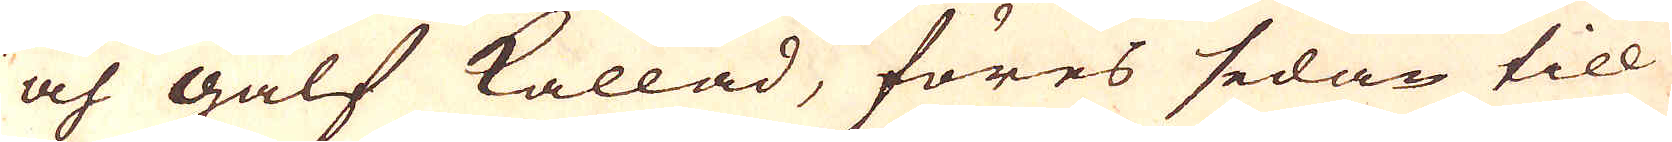och gälf kallad, föres sedan till
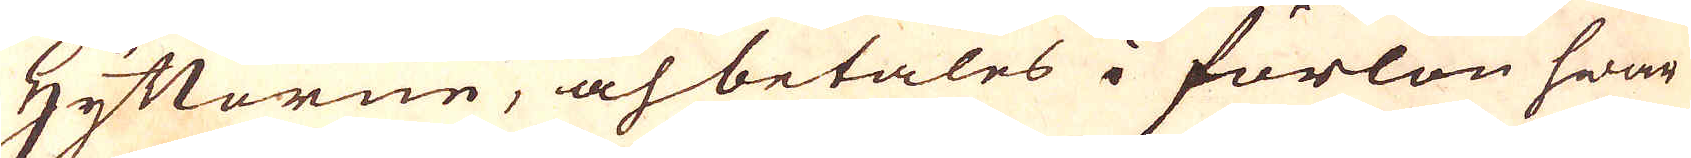Hyttorne, och betales i förlön hwar
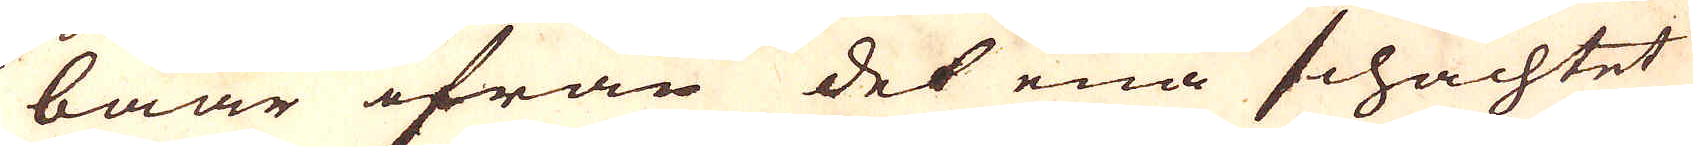baar ifrån det ena schachtet
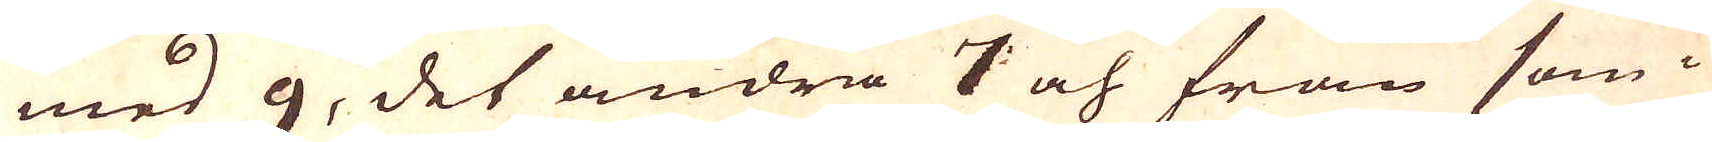med 9, det andra 7 och från som-
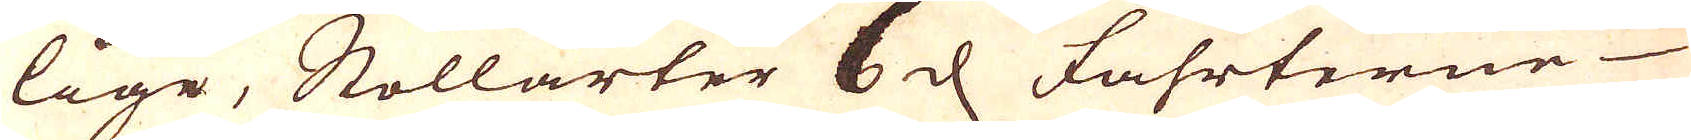lige, Stollarter 6 d Fahrterne
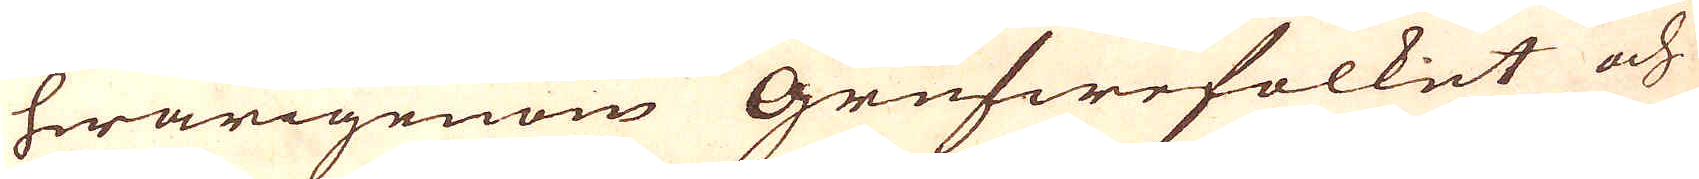hwarigenom Grufwefolket och
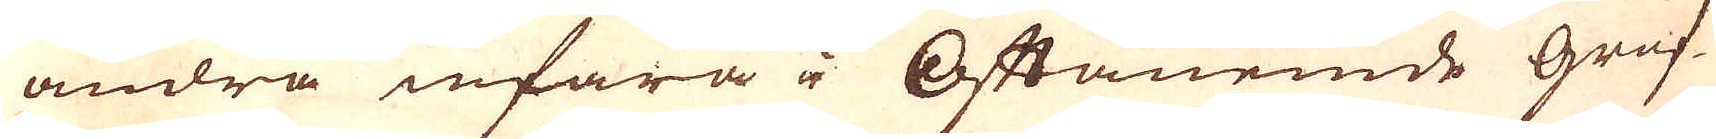andra infara i Oftanemde gruf-
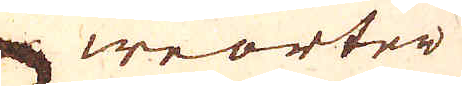weorter
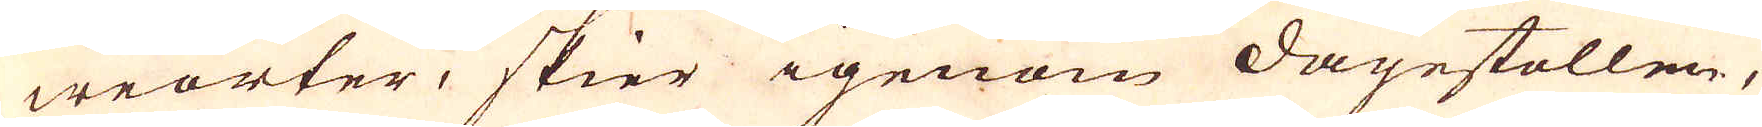weorter, skier igenom dagestollen,
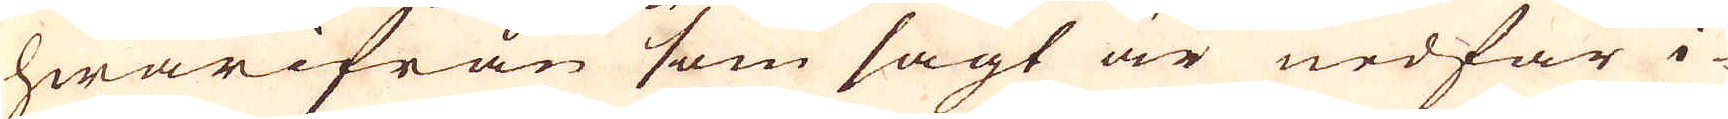hwarifrån som sagt är nedfar i-
